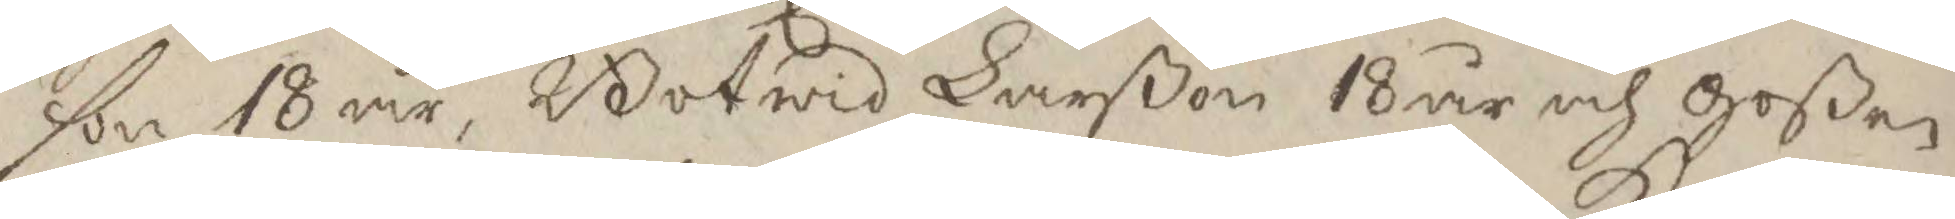son 18 år, Botwid Larßon 18 år och goßen
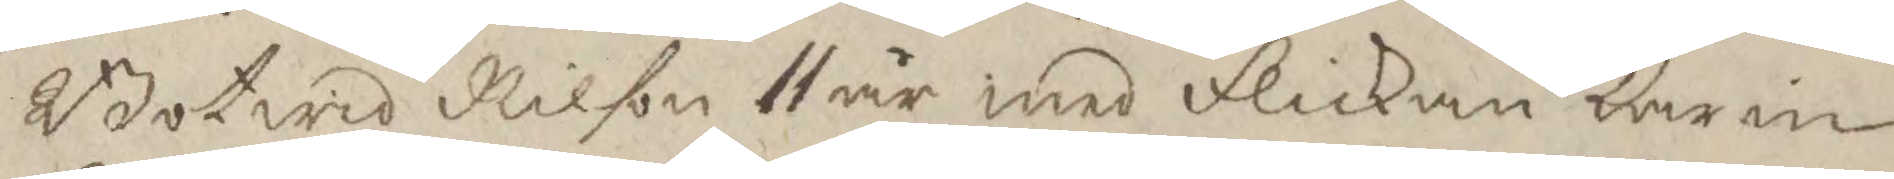Botwid Nilson 11 år, med flickan Karin
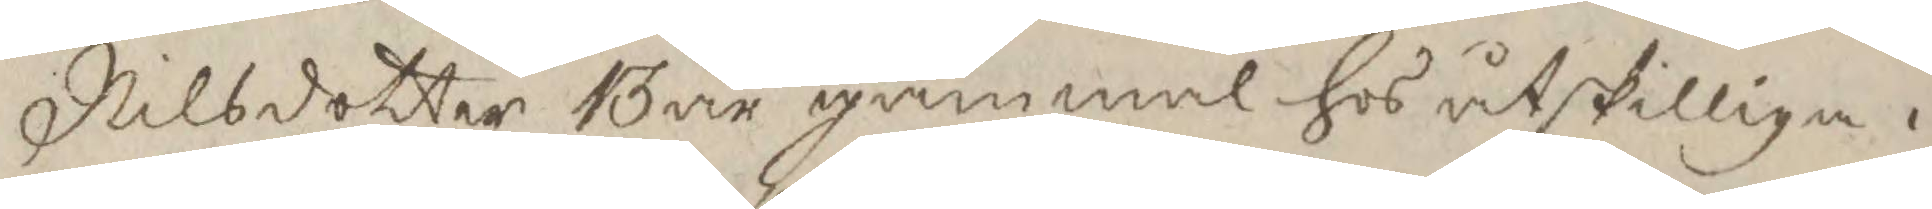Nilsdotter 13 år gammal hos åtskilliga i
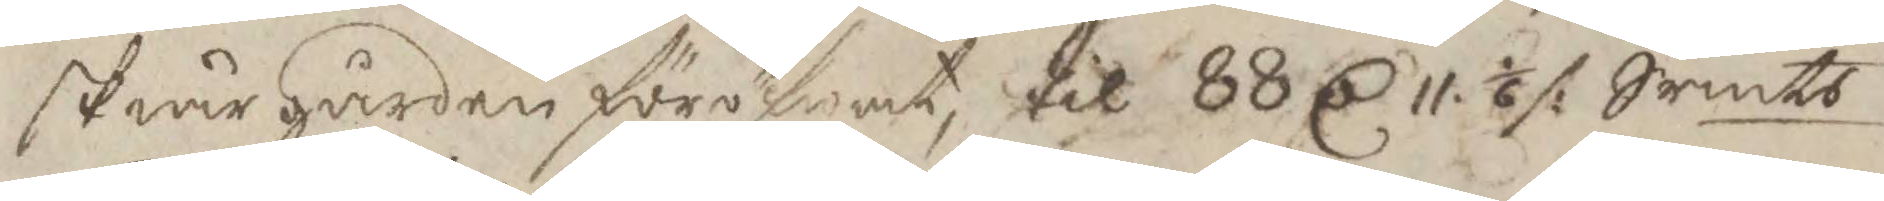skiärgården föröfwat, til 88 C 11. 1/6 /: Srmts
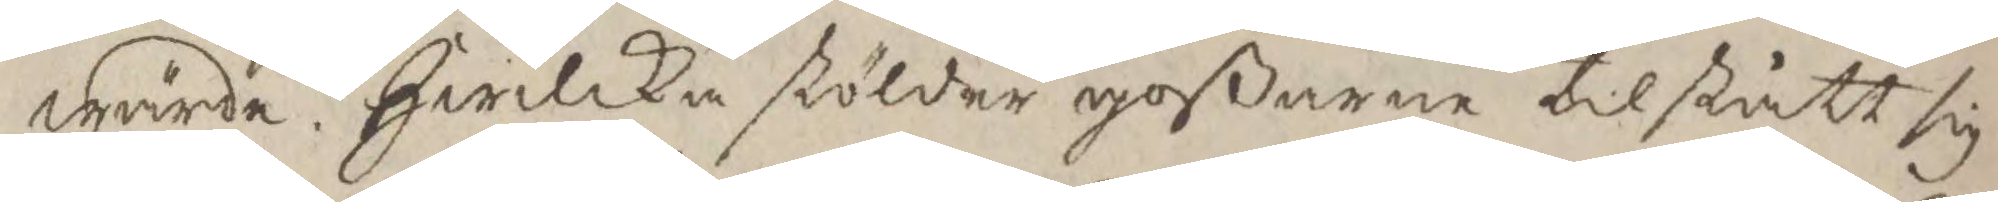wärde hwilka stölder goßarne tilstått sig
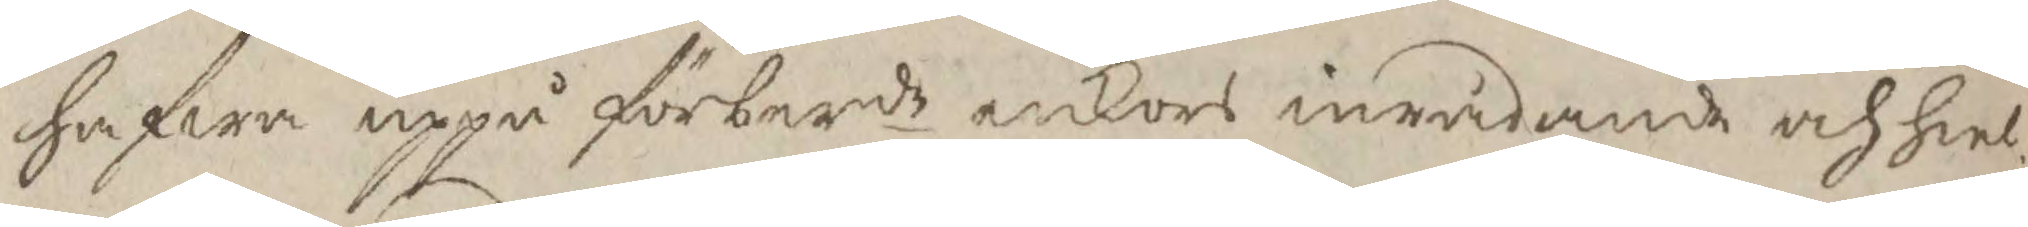hafwa uppå förberde enkors inrådande och hiel¬
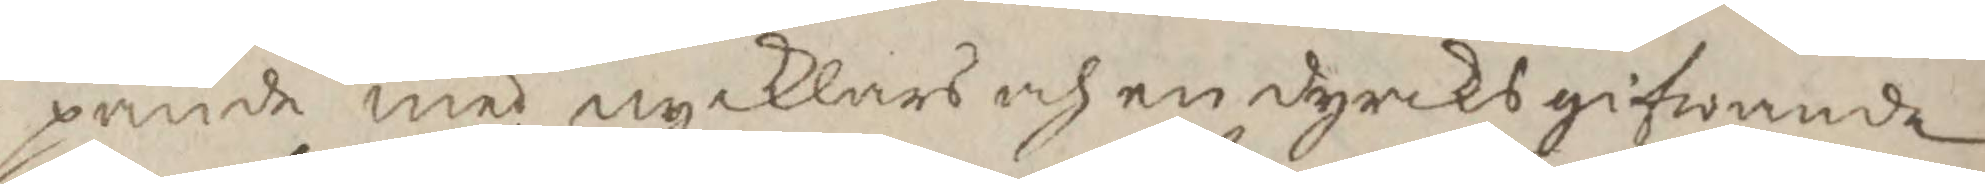pande med nycklars och en dyrcks gifwande
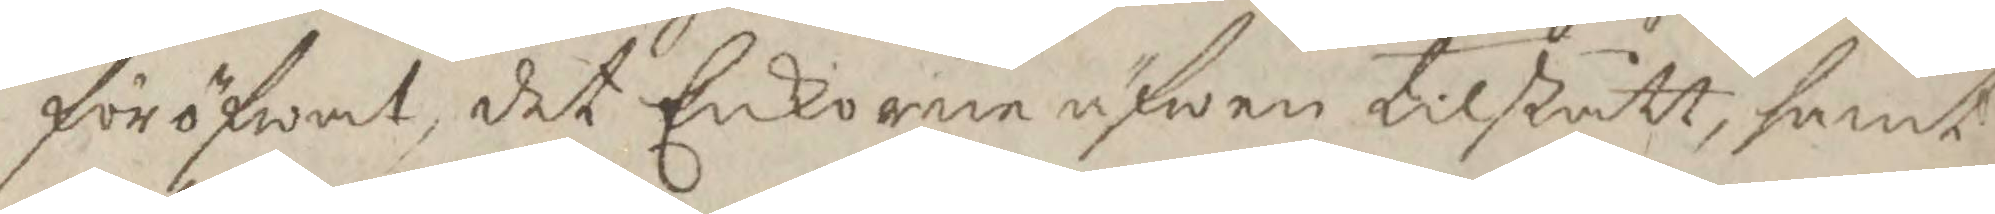föröfwat, det Enkorne äfwen tilstått, samt
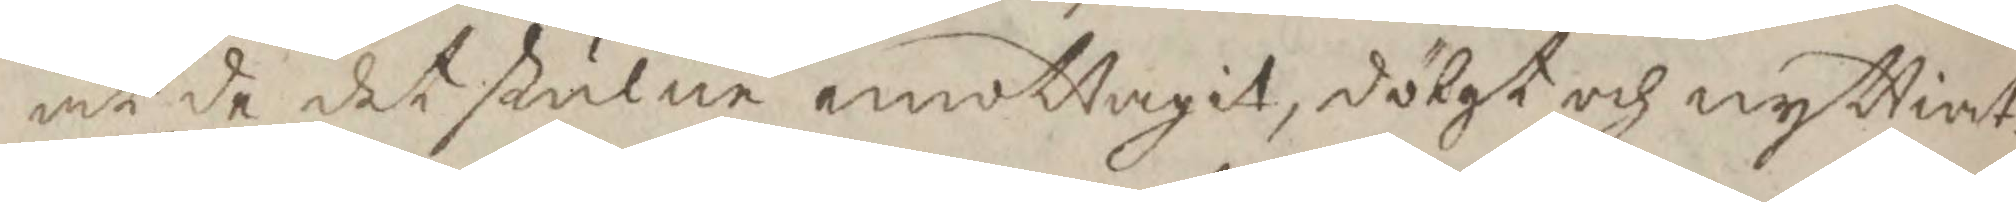at de det stulne emottagit, dölgt och nyttiat.
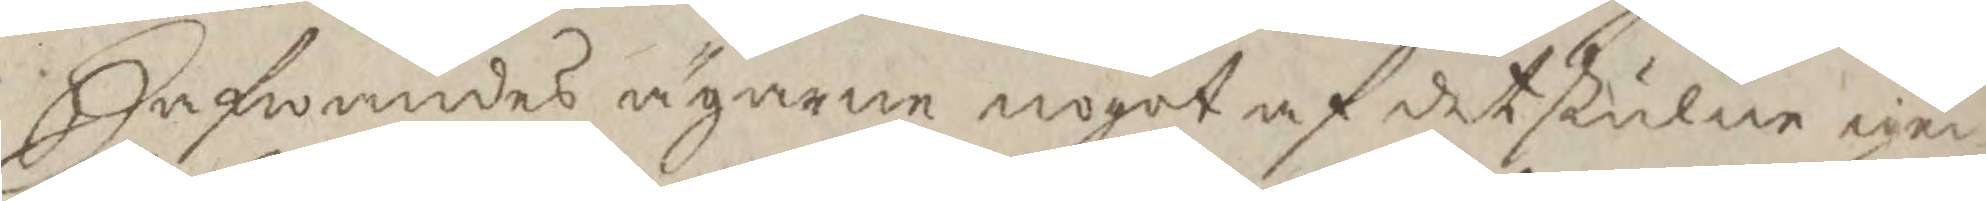Hafwandes ägarne nogot af det stulna igen¬
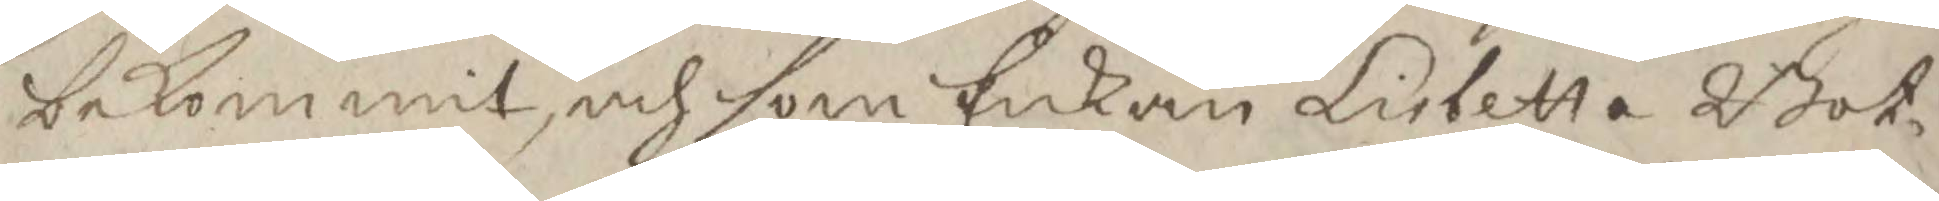bekommit, och som Enkan Lisbetta Bot¬
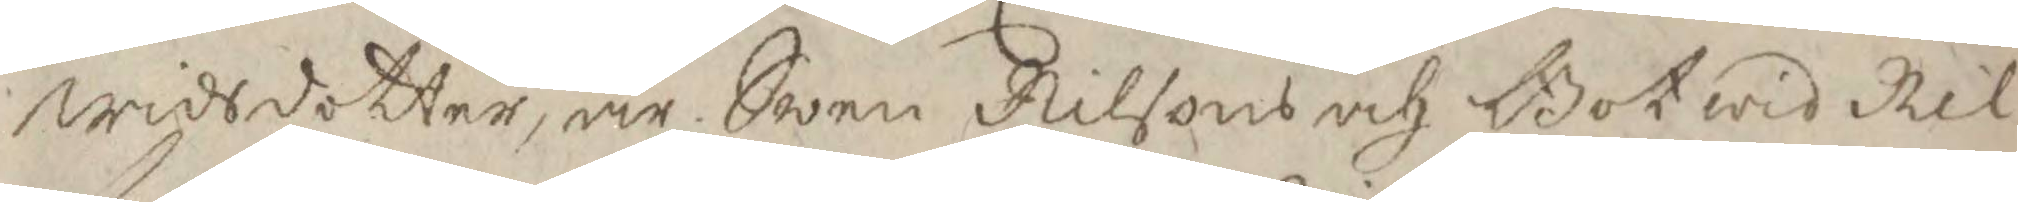widsdotter, är Swen Nilsons och Botwid Nil¬
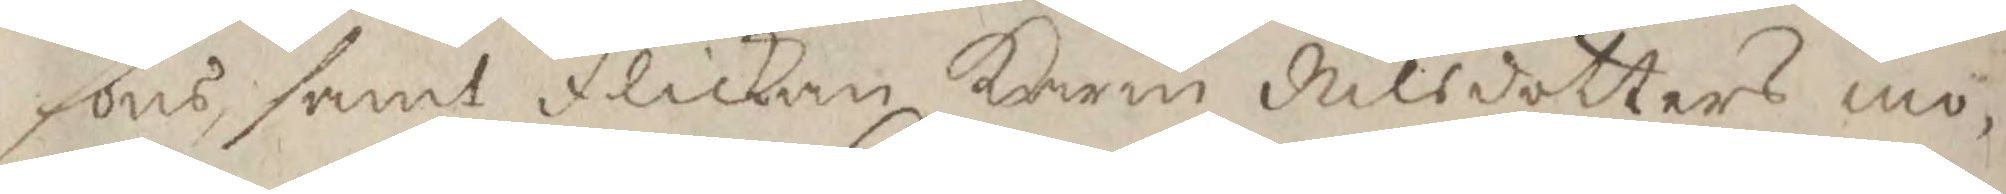sons samt flickan karin Nilsdotters mo¬
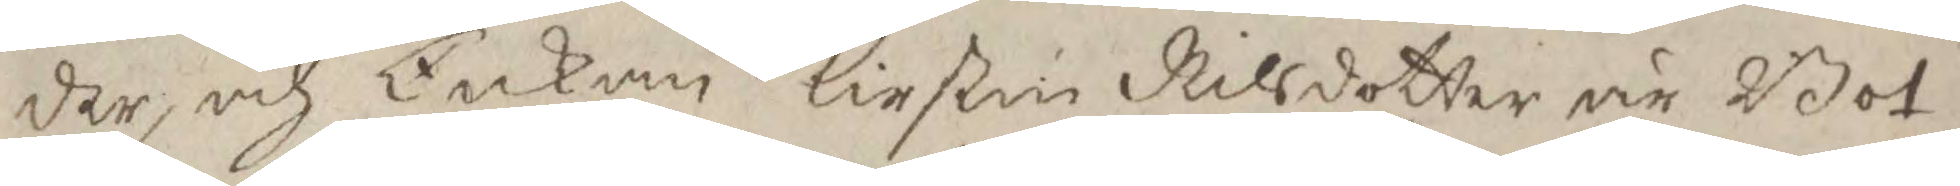der, och Enkan Kirstin Nilsdotter är Bot¬
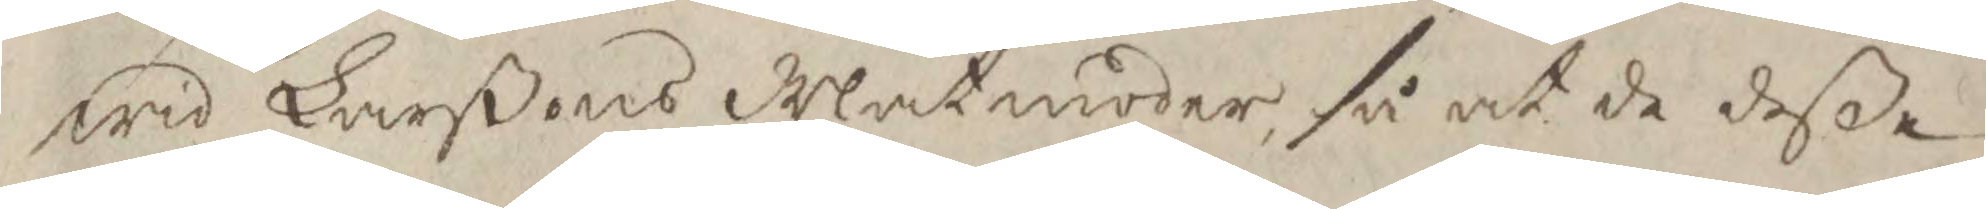wid Larßons Matmoder, så at de deße
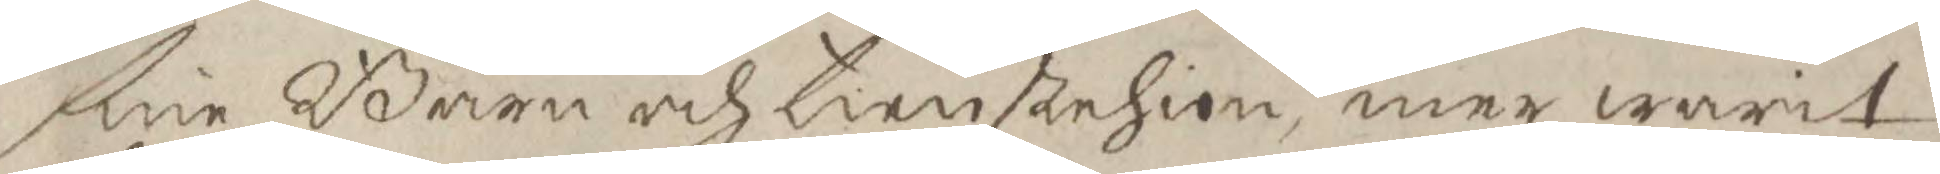sine Barn och tienstehion, men warit
